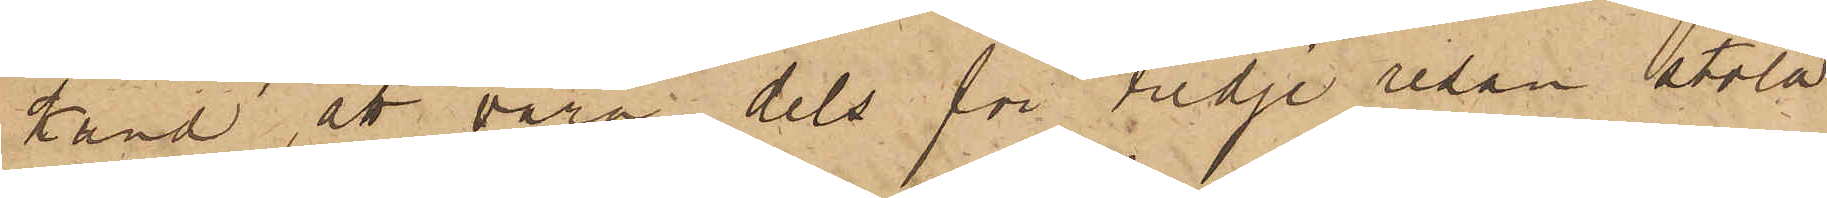känd, att vara, dels för tredje resan stöld
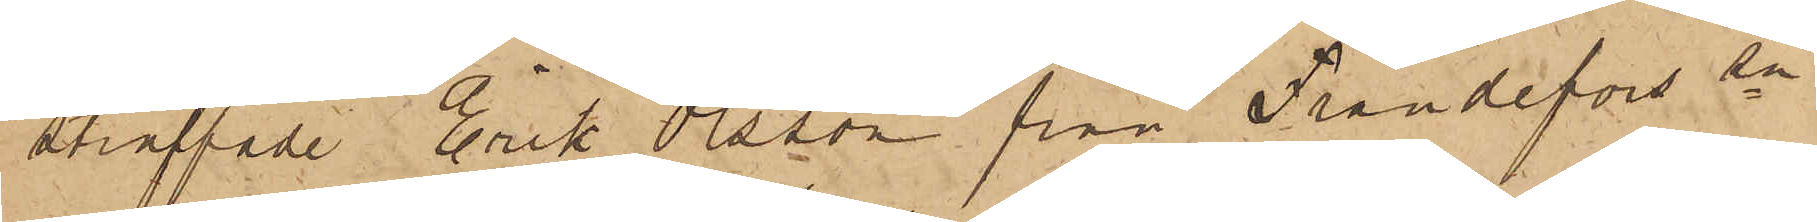straffade Erik Olsson från Frändefors sn
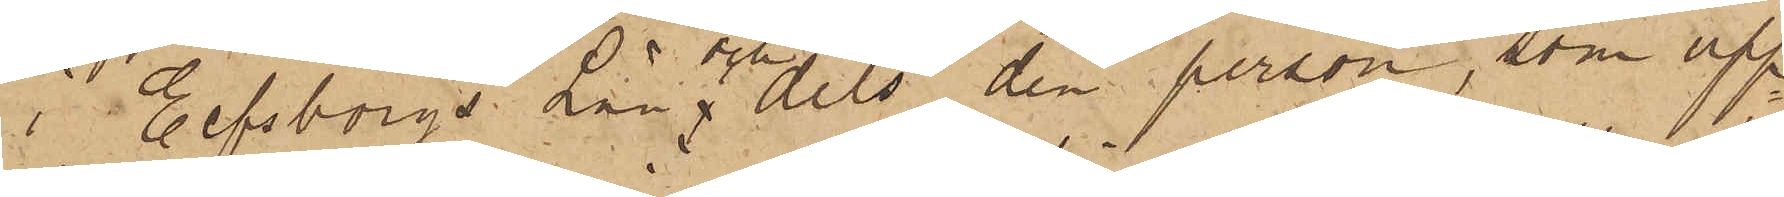i Elfsborgs Län och dels den person, som upp¬
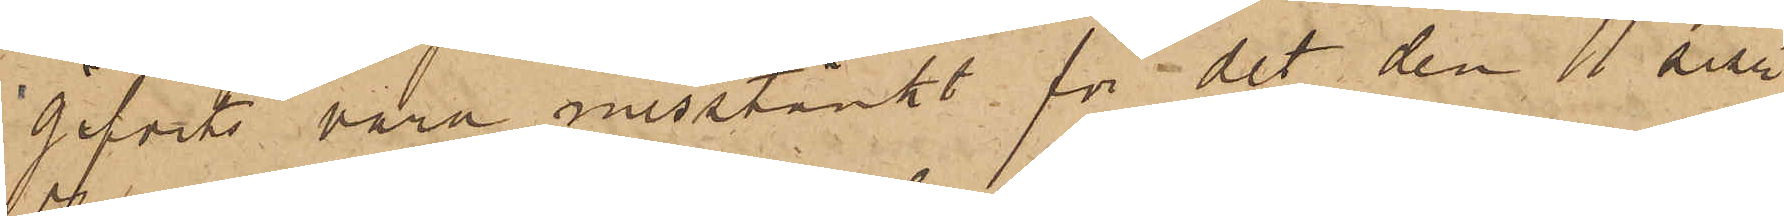gifvits vara misstänkt för det den 11 sistl.
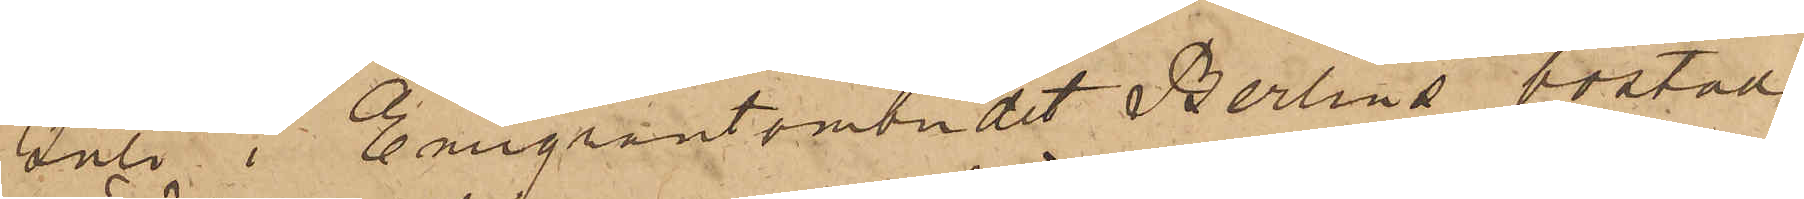Juli i Emigrantombudet Berlins bostad
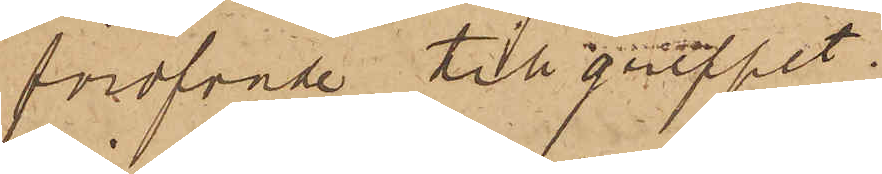föröfvade tillgreppet.
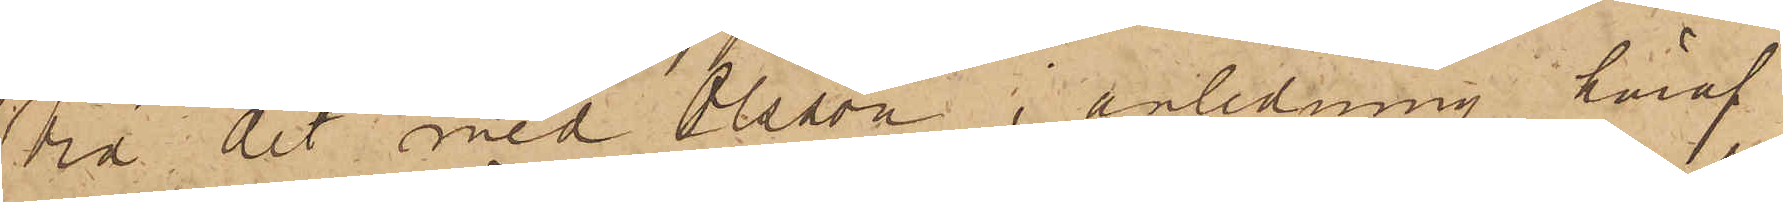Vid det med Olsson i anledning häraf
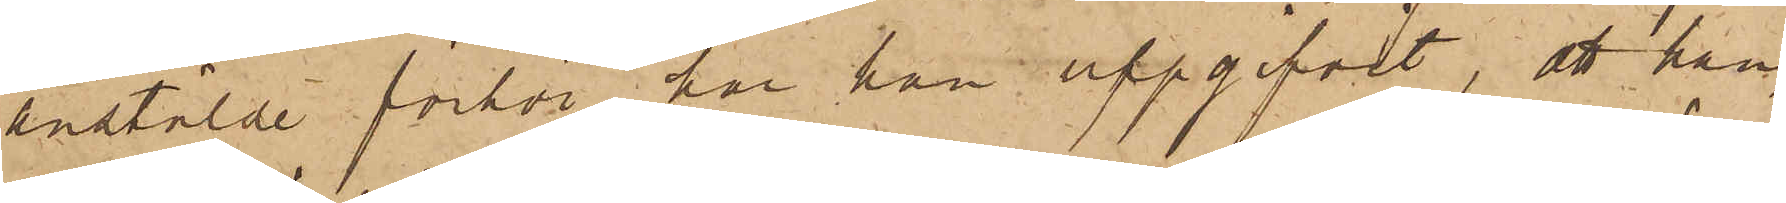anstälde förhör har han uppgifvit, att han,
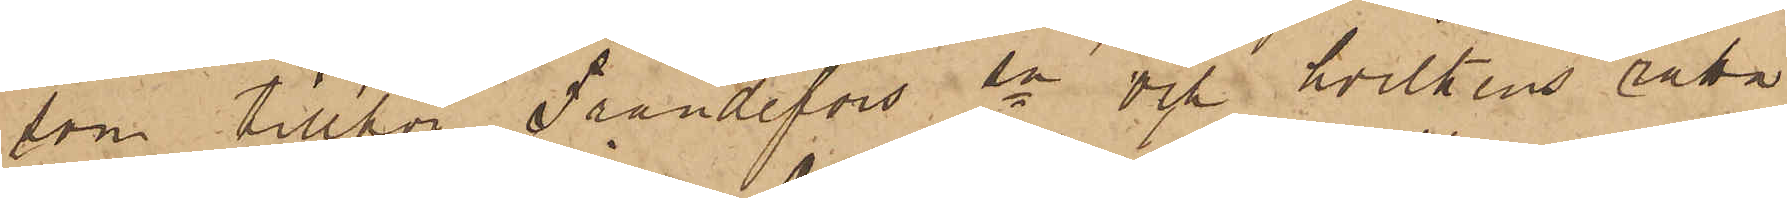som tillhör Frändefors sn och hvilkens rätta
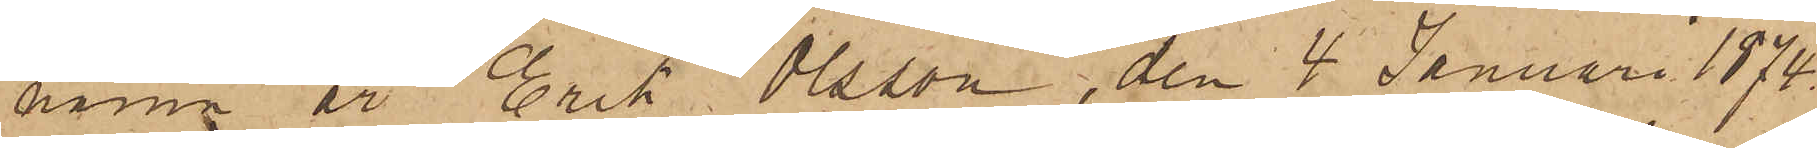namn är Erik Olsson, den 4 Januari 1874.
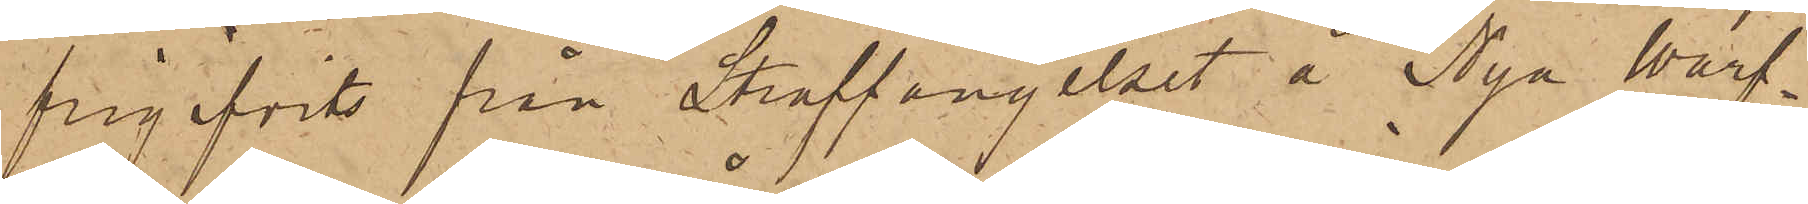frigifvits från Straffängelset å Nya Warf¬
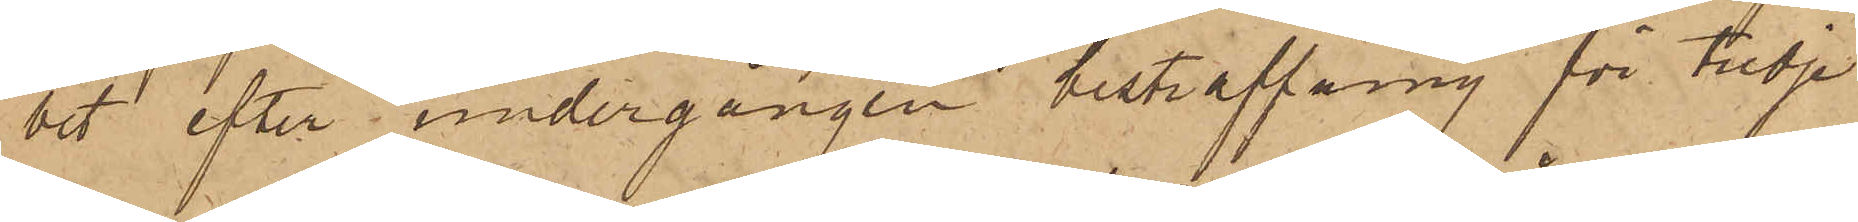vet efter undergången bestraffning för tredje
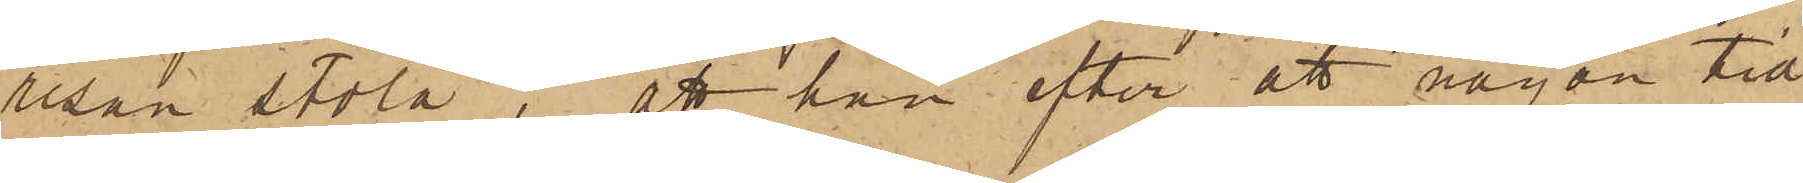resan stöld; att han efter att någon tid
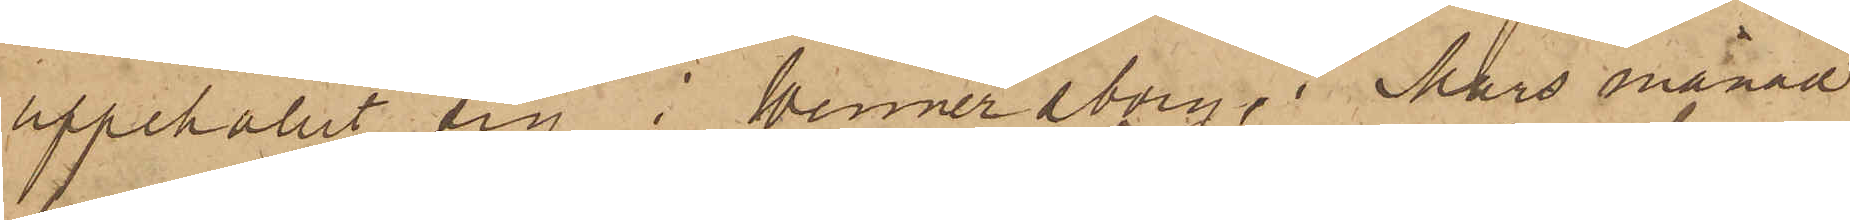uppehållit sig i Wennersborg, i Mars månad
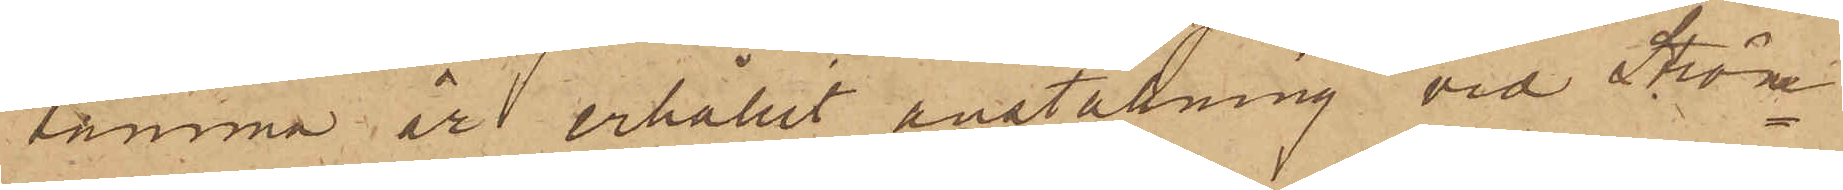samma år erhållit anställning vid Ström¬
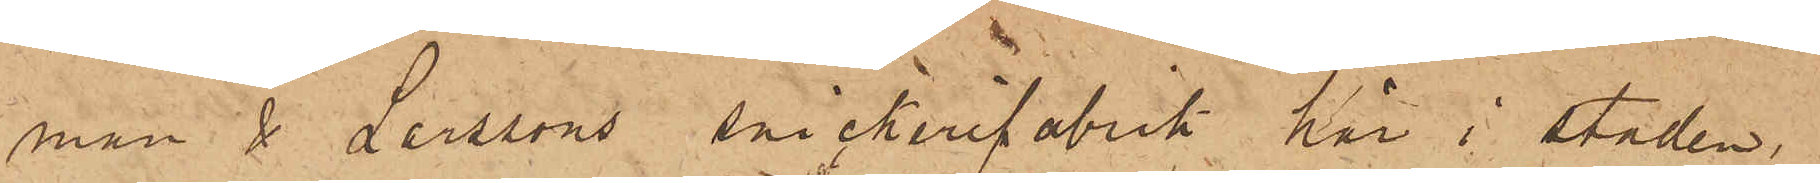man & Larssons snickerifabrik här i staden,
